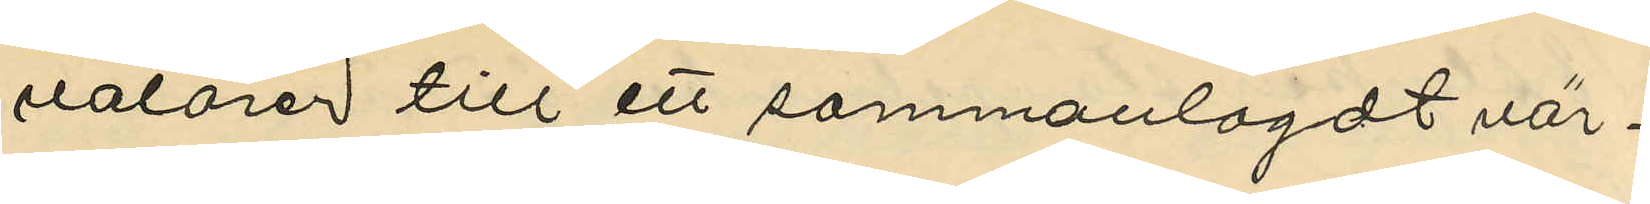välörer till ett sammanlagdt vär¬
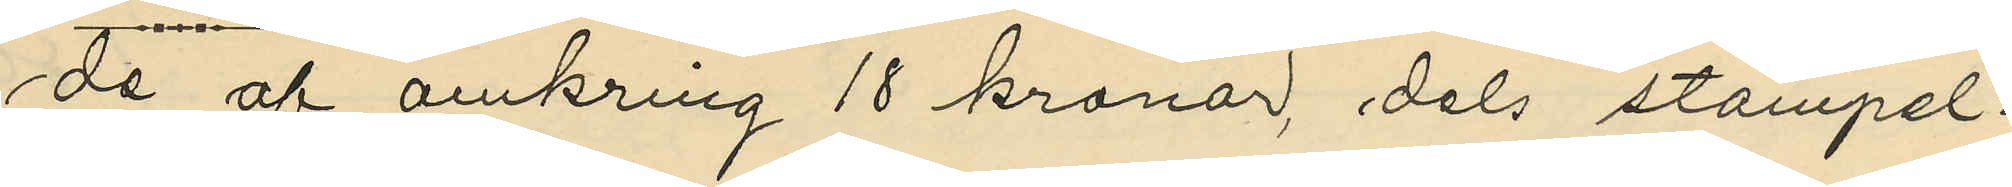de af omkring 18 kronor, dels stämpel¬
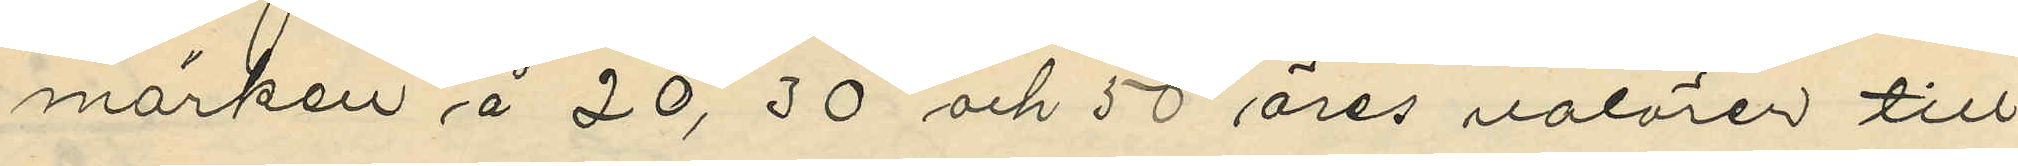märken å 20, 30 och 50 öres valören till
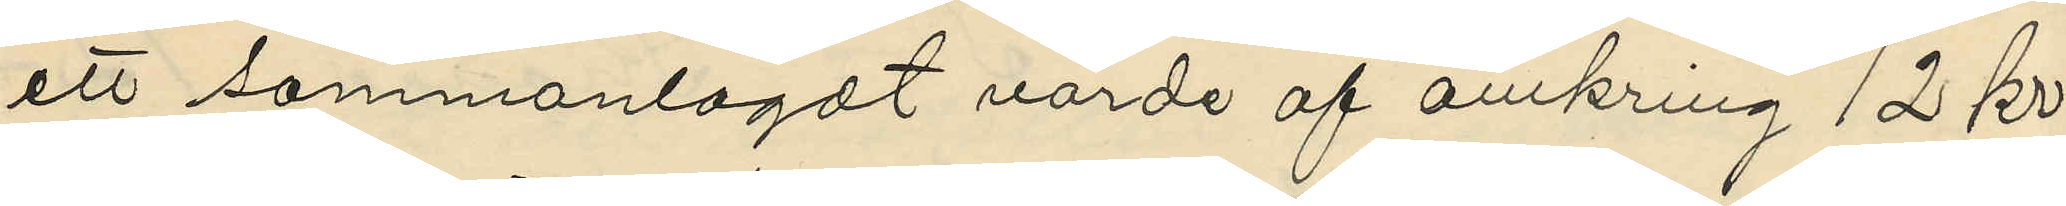ett sammanlagdt värde af omkring 12 kr.
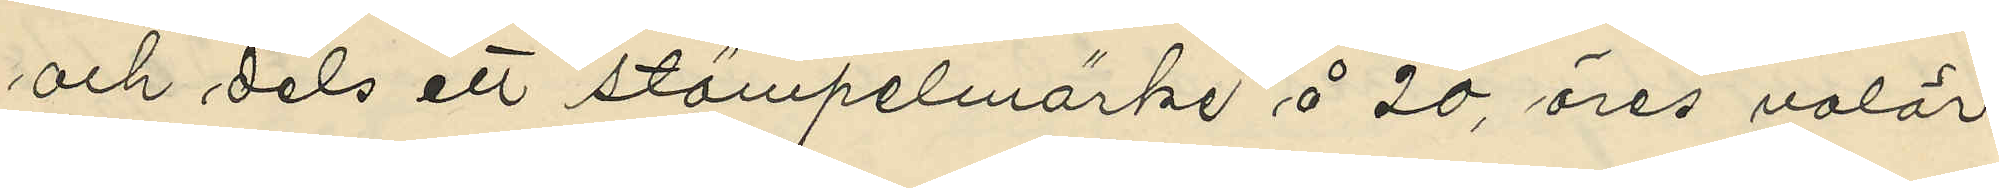och dels ett stämpelmärke å 20, öres valör
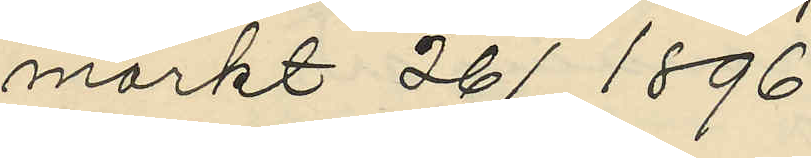märkt 26/3 1896.
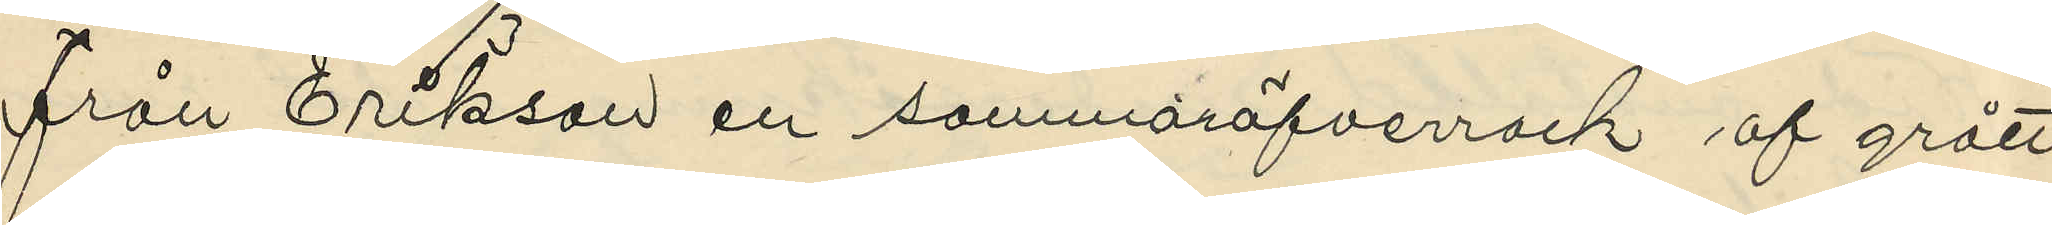från Erikson en sommaröfverrock af grått
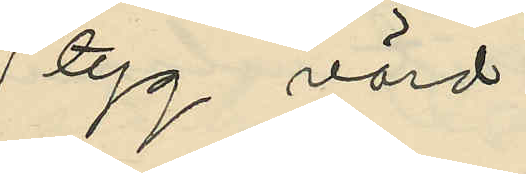tyg värd
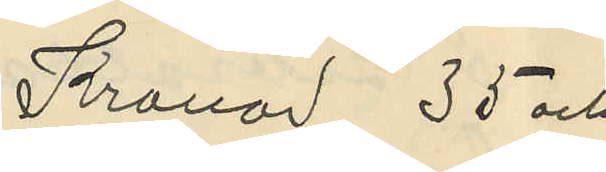Kronor 35 och
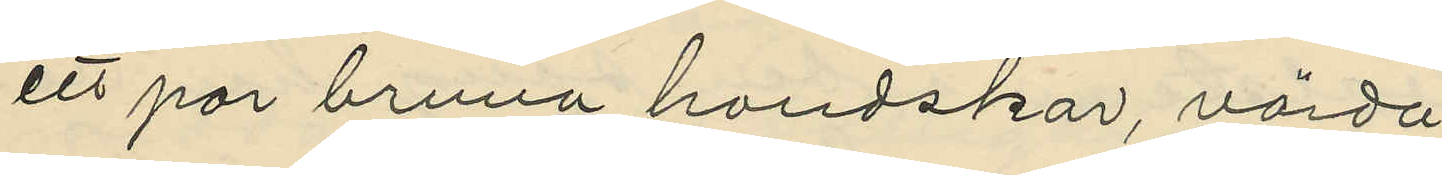ett par bruna handskar, värda
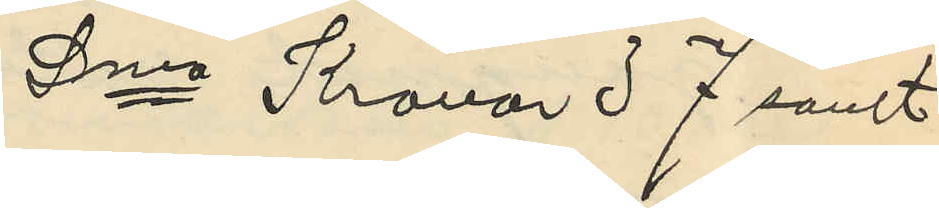Sma Kronor 37 samt
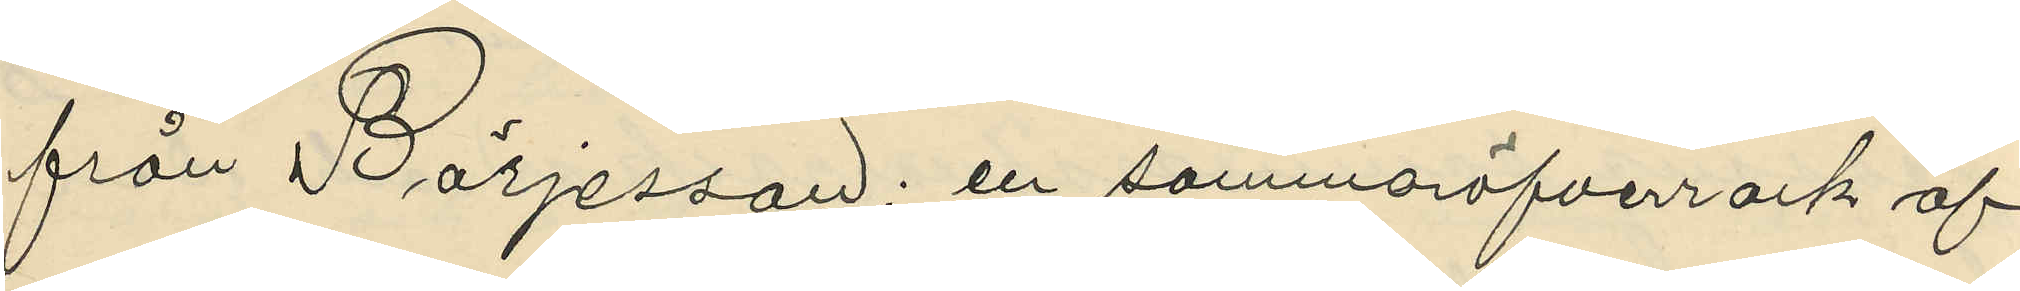från Börjesson: en sommaröfverrock af
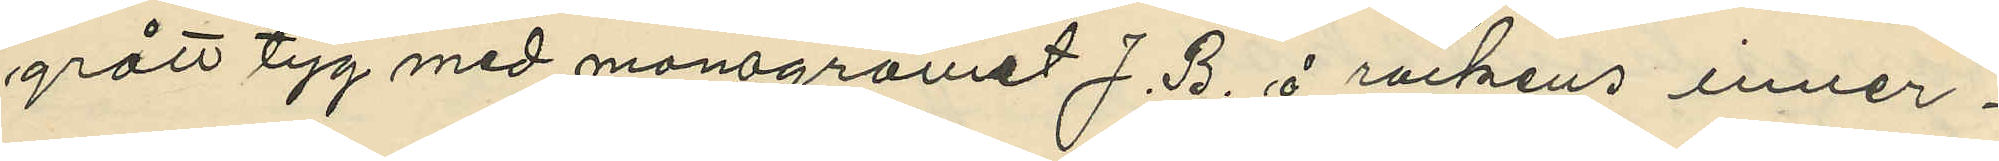grått tyg med monogramet J. B. å rockens inner¬
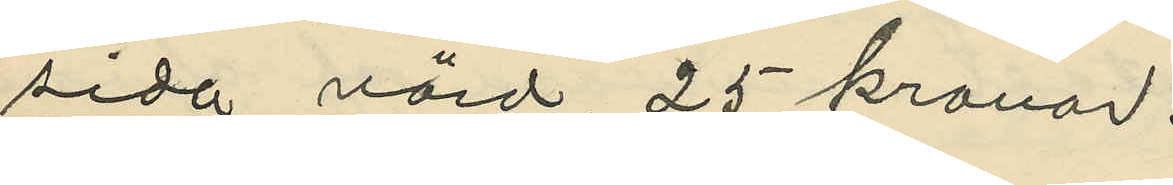sida värd, 25 kronor.
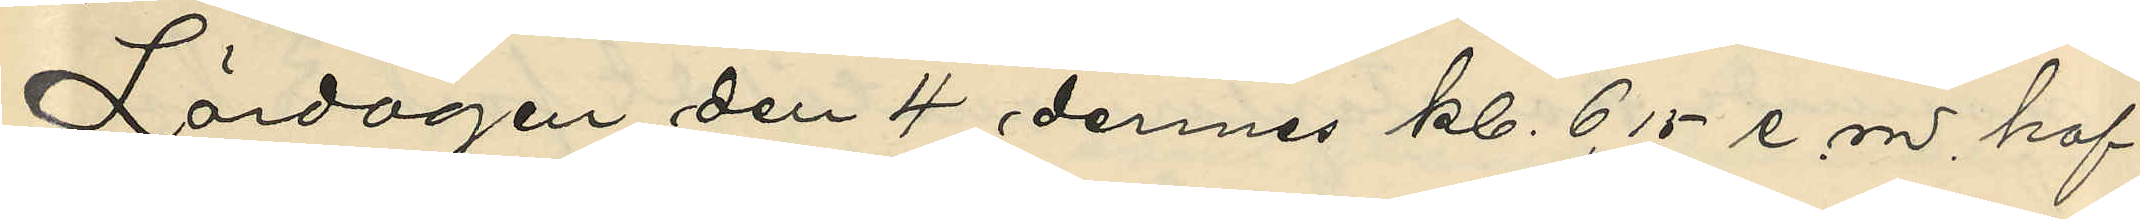Lördagen den 4 dennes kl. 6,15 e.m. haf¬
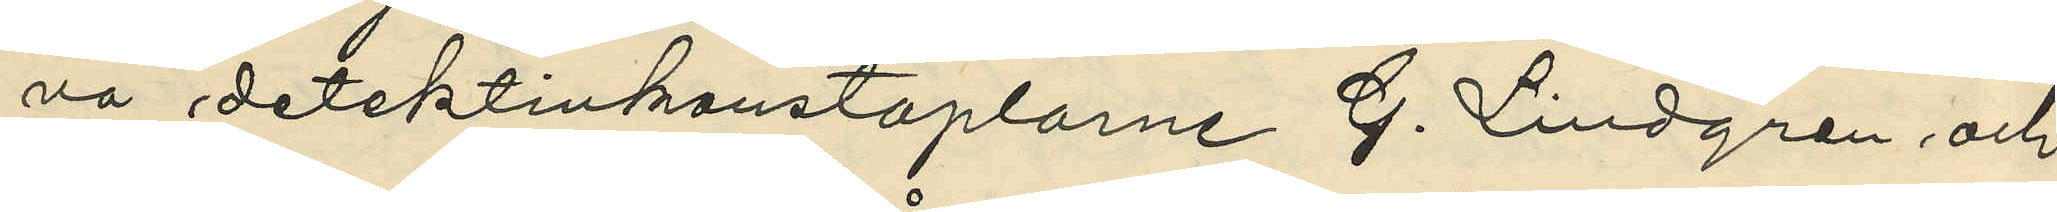va detektivkonstaplarne G. Lindgren och
